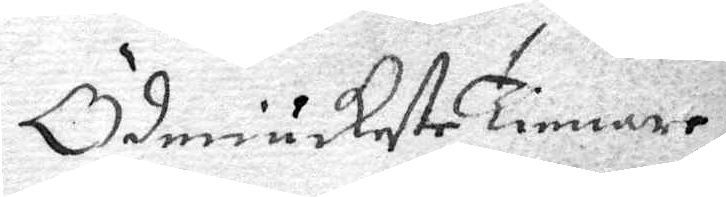Ödmiukeste Tienare
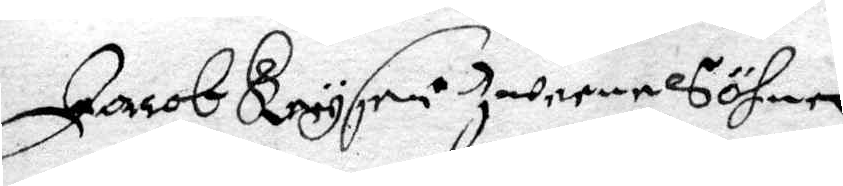Jacob Kreysri Iwerne Söhne
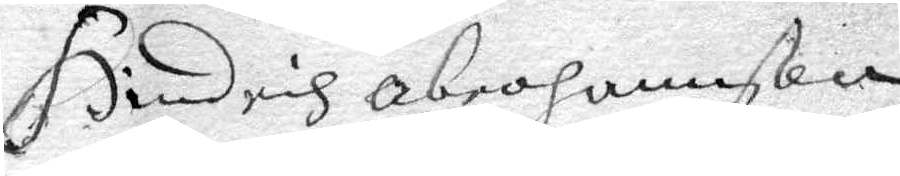Hindrich Abrahamson
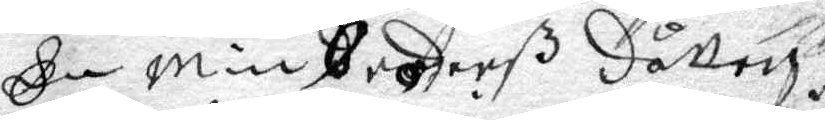Kerstin Anderß Dåtter
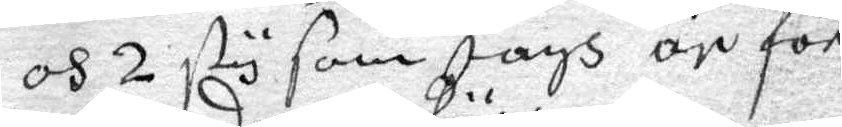och 2 sty som Jagh är för¬
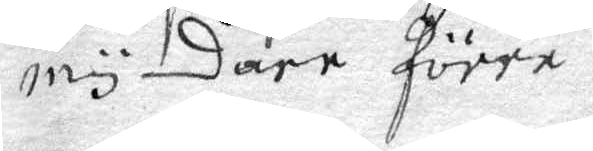myndare förra.
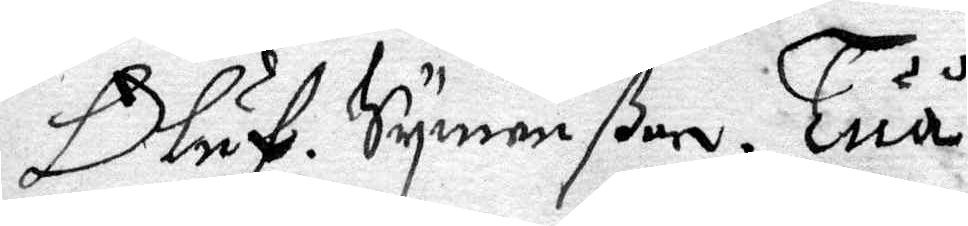Oluf Symonßon Tuå
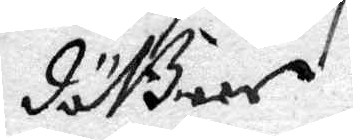döttrer
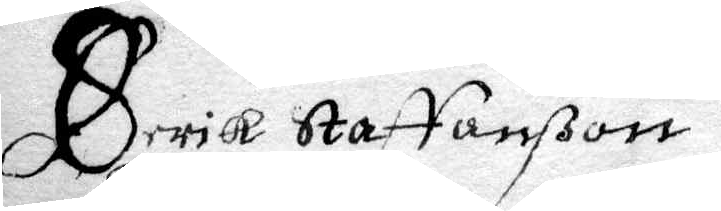Erik Staffanßon
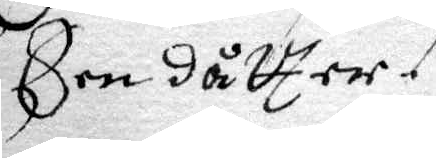Een Dåtter.
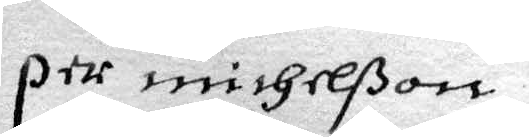Per Michelßon.
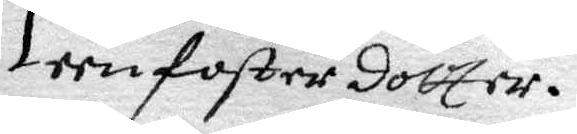een foster dotter.
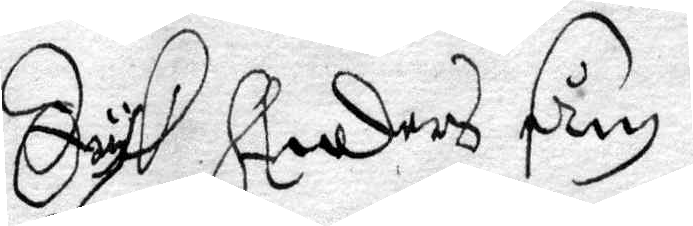Dyk Anders sån
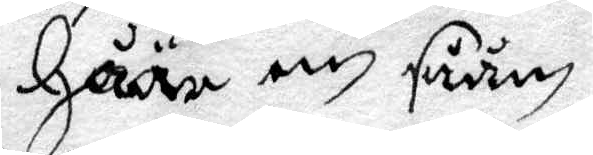häär en såån
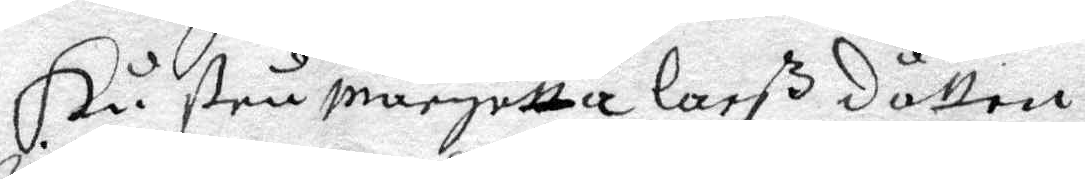Hustru margetta larß dåtter
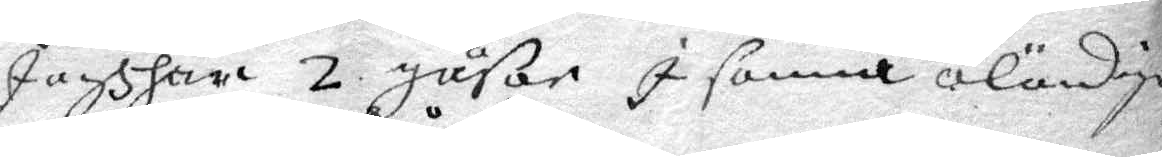Jagh har 2 gåsar I samna äländiga
